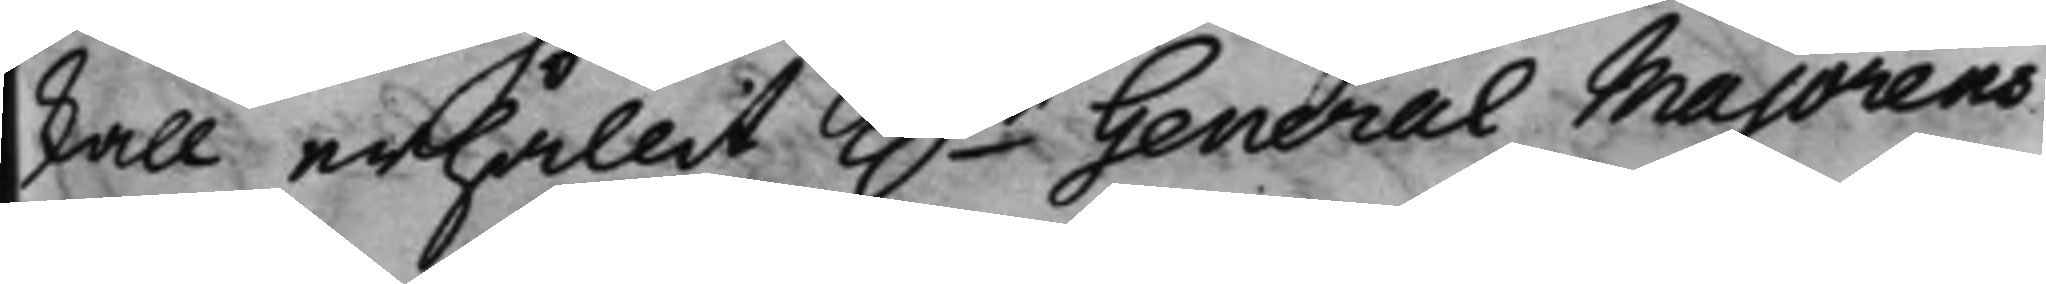skall erhållit h.r General Maiorens
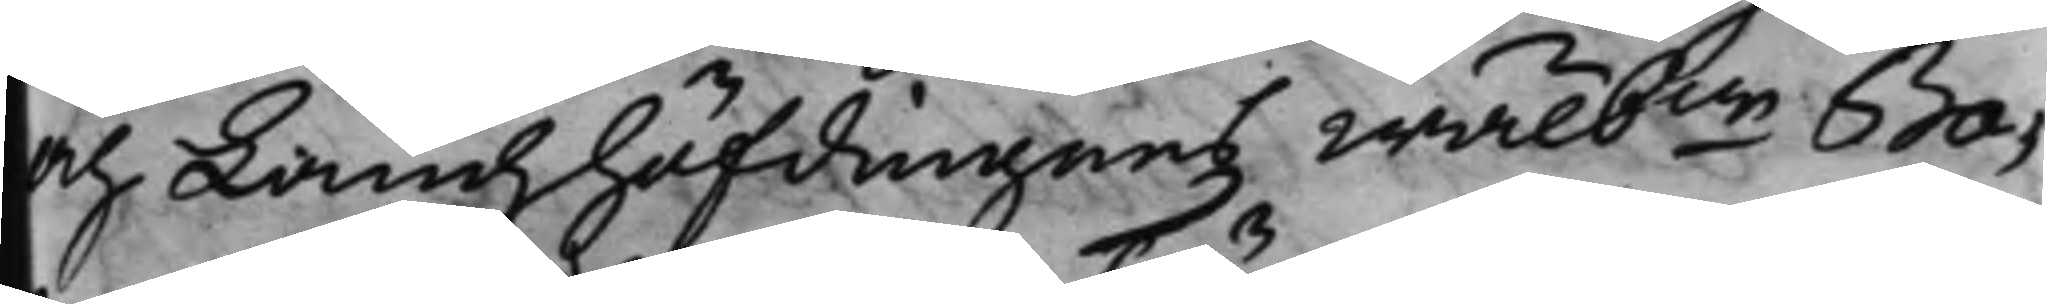och Landzhöfdingens Wälb:ne Ba¬
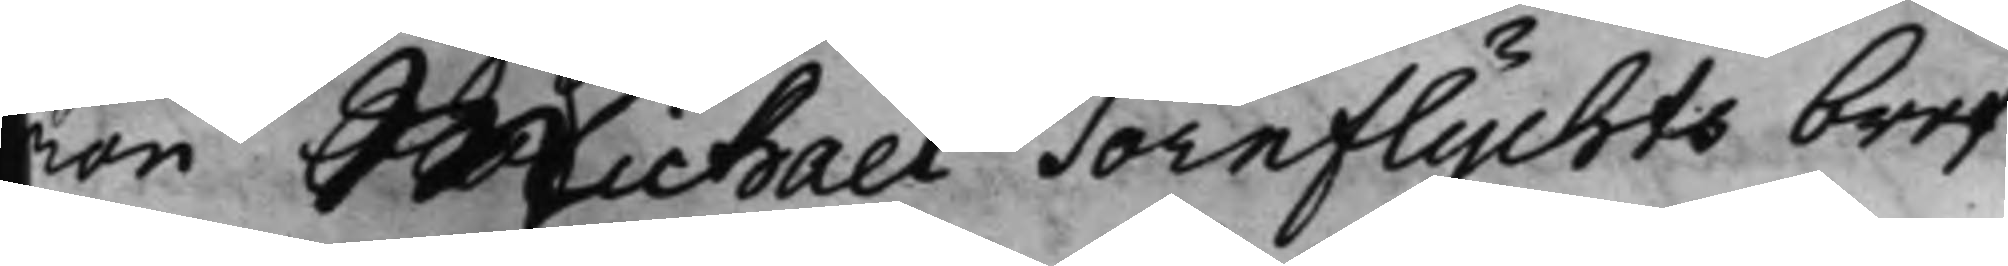ron Michael Törnflychts bref
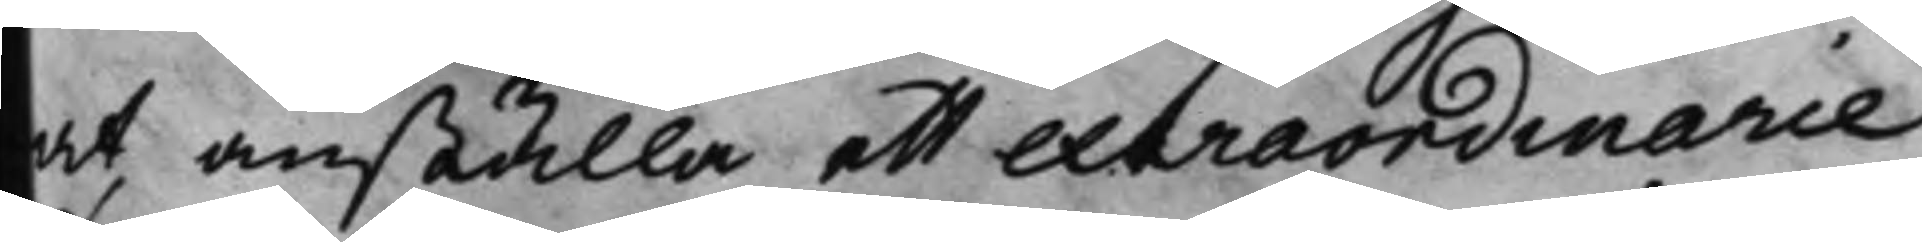at anställa ett extraordinarie
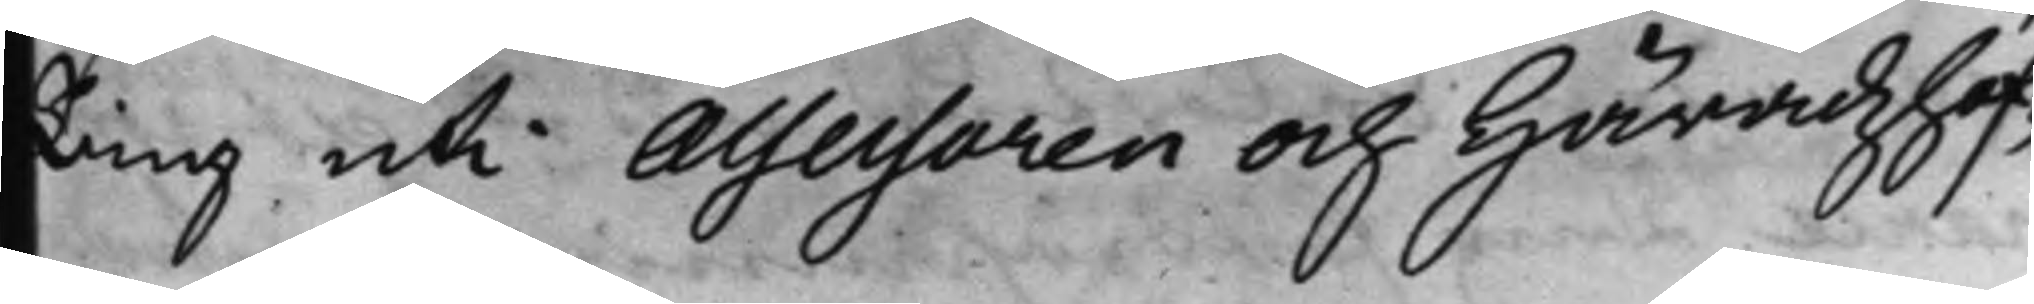Ting uti Assessoren och Häradzhöf¬
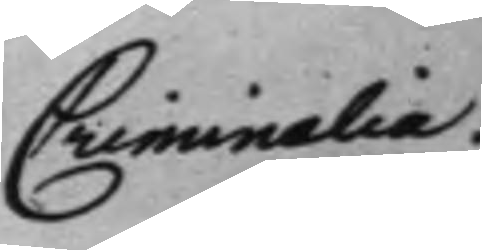Criminalia.
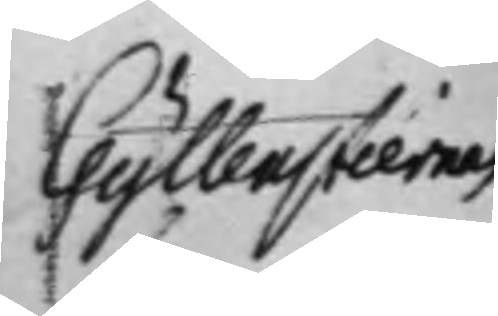Gyllenstiernas
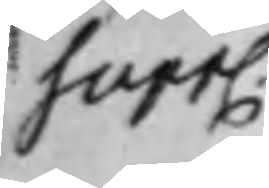Supp.
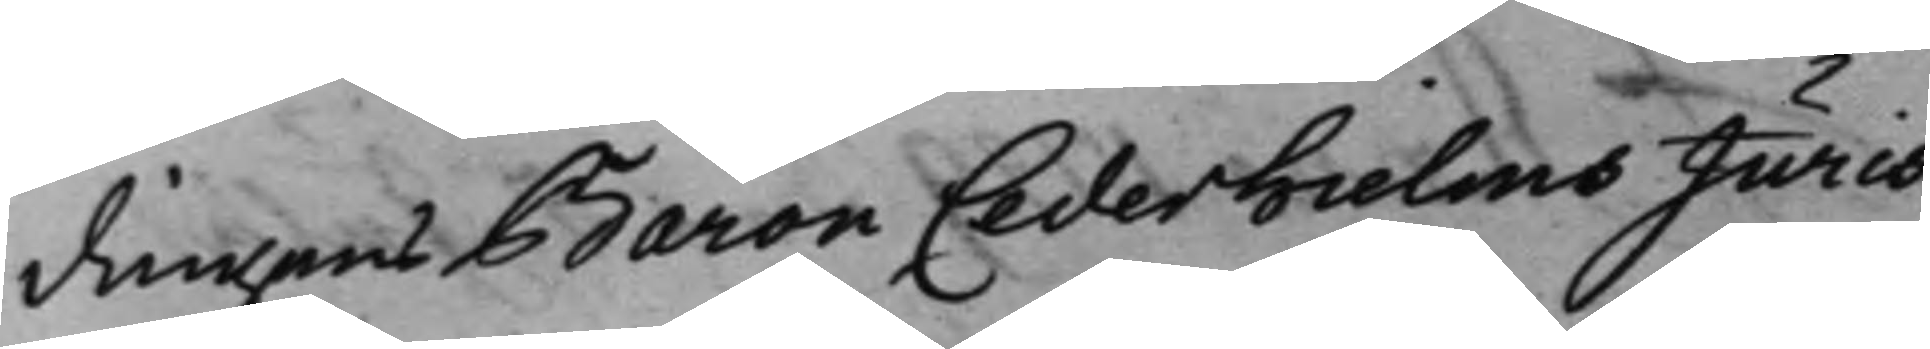dingens Baron Cederhielms Juris¬
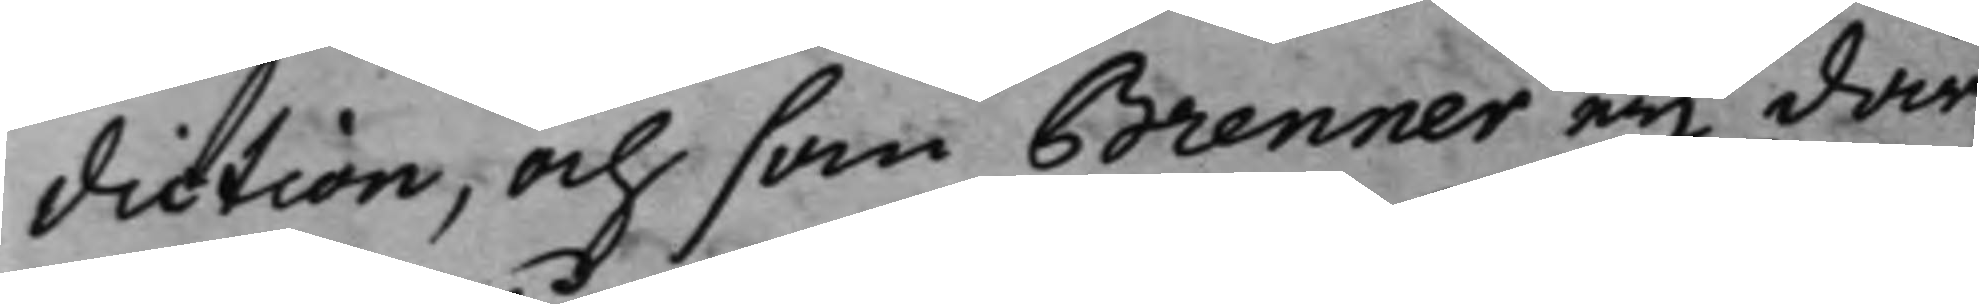diction, och som Brenner eij där¬
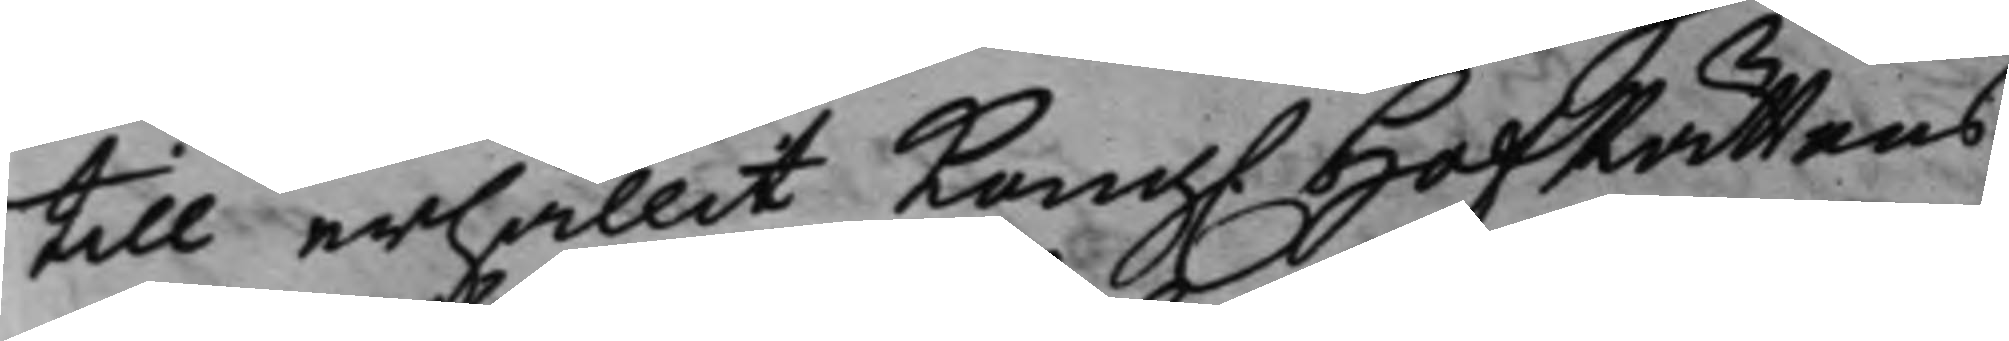till erhållit Kong. HofRättens
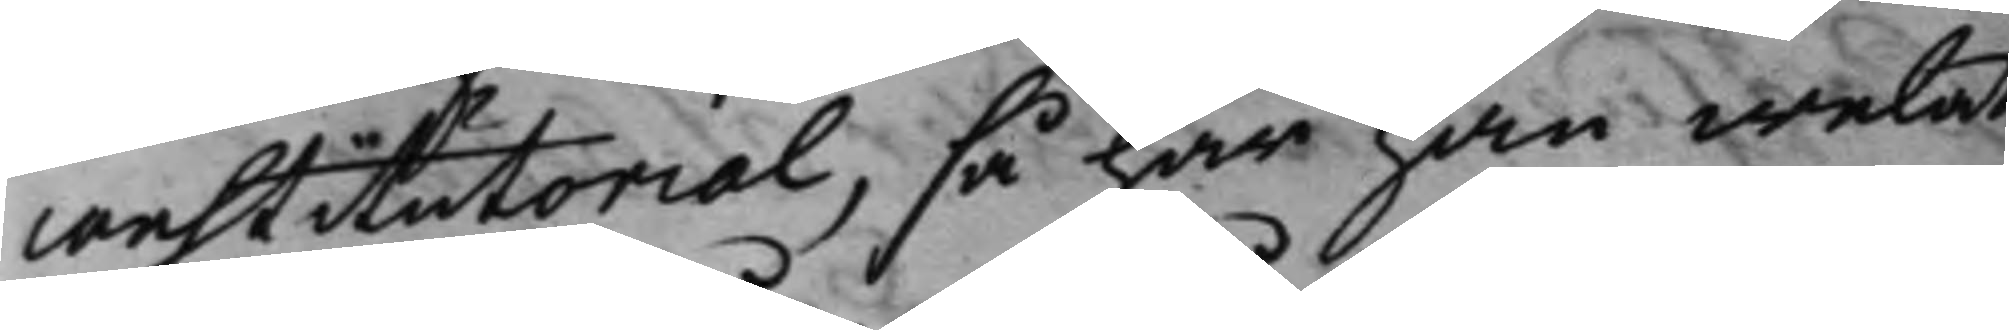restitutorial, så har han welat
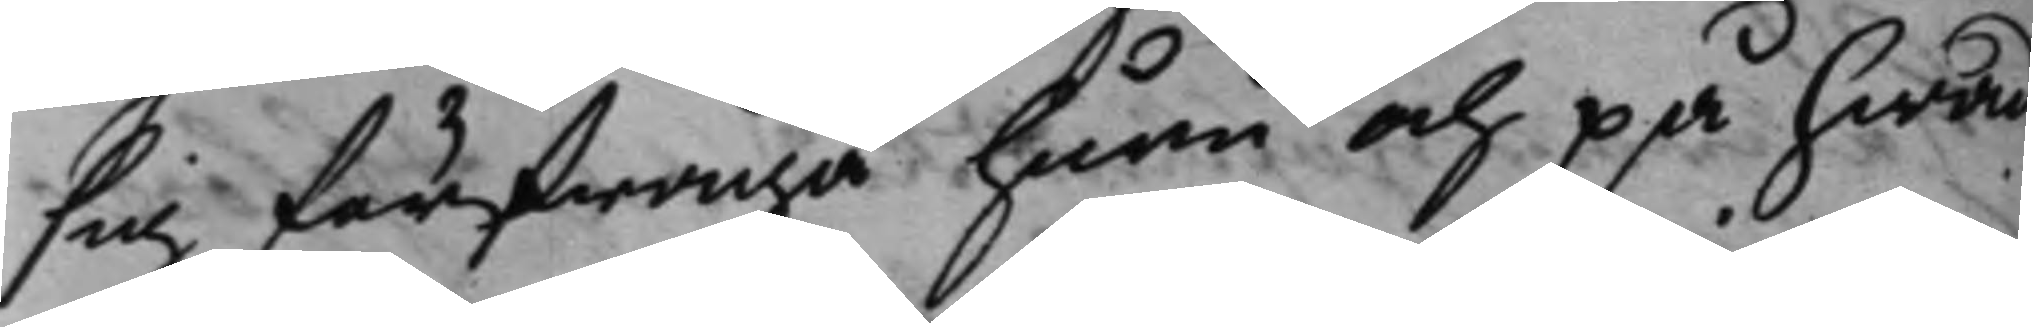sig förfråga huru och på hwad
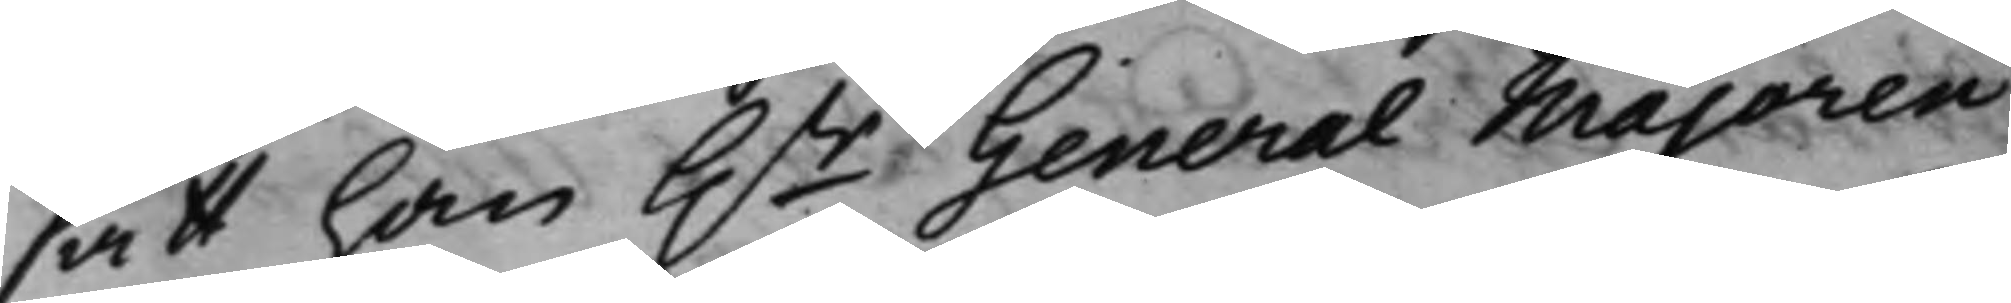sätt han h.r General Majoren
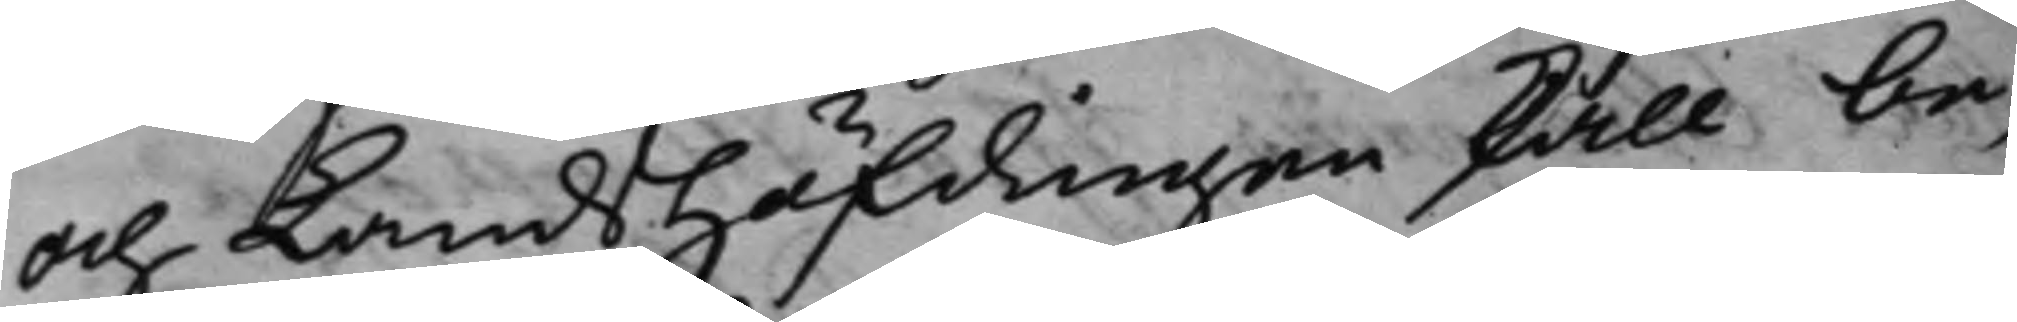och LandsHöfdingen skall be¬
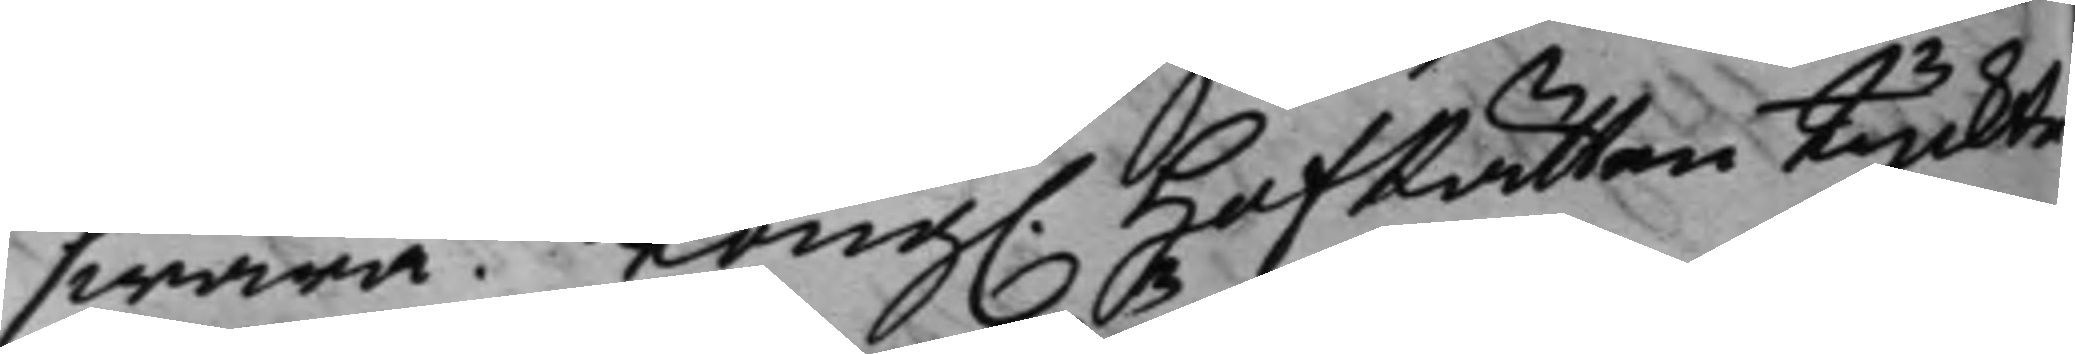swara. Kong. hofRätten tyckte
